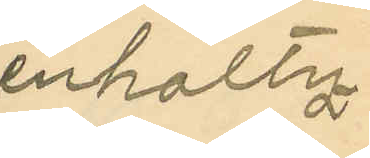enholtz.
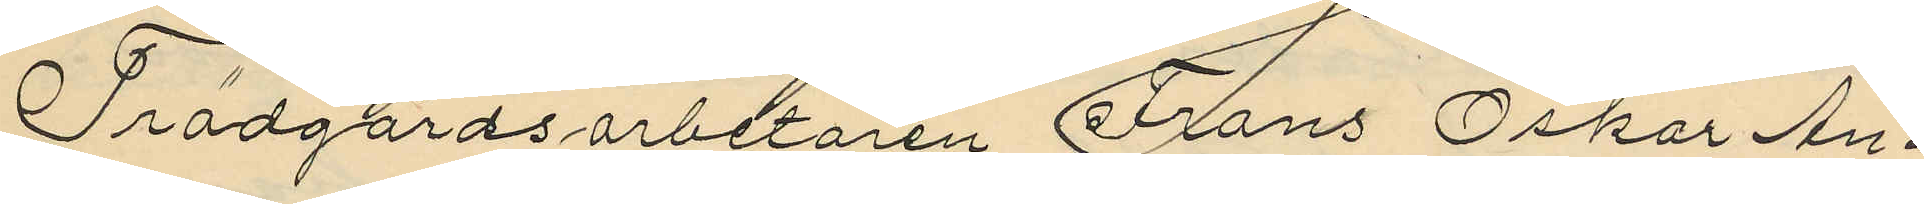Trädgårdsarbetaren Frans Oskar An¬
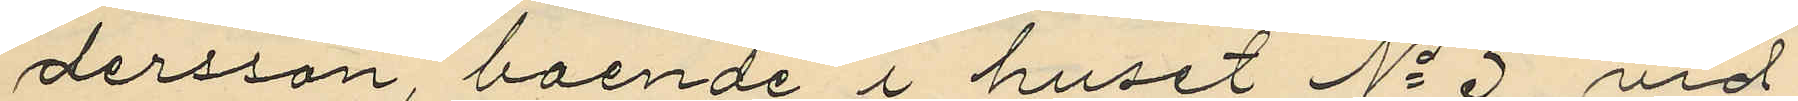dersson, boende i huset No 3 vid
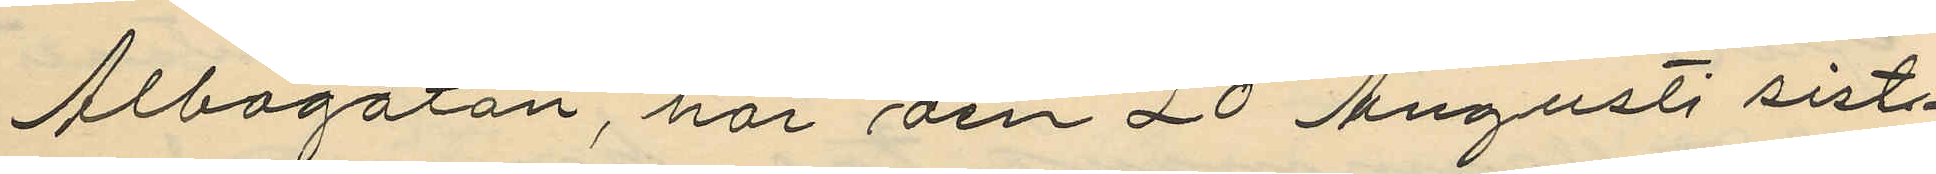Albogatan, har den 20 Augusti sist¬
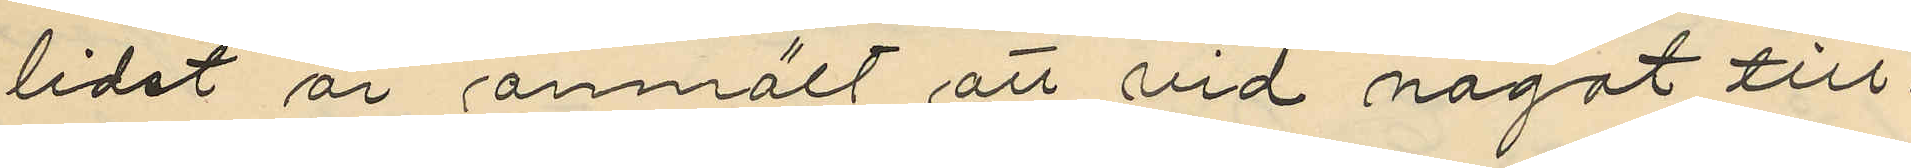lidet år anmält att vid något till¬
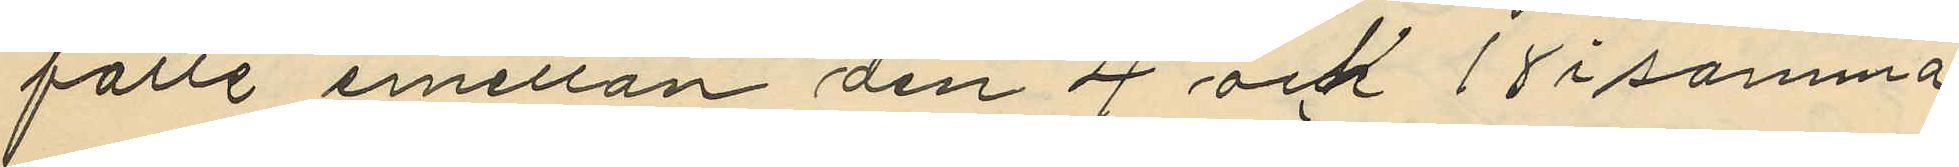fälle emellan den 4 och 18 i samma
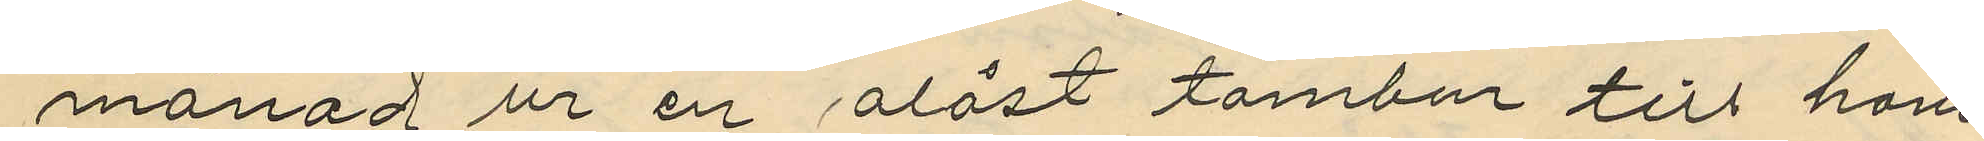månad ur en olåst tambur till hans
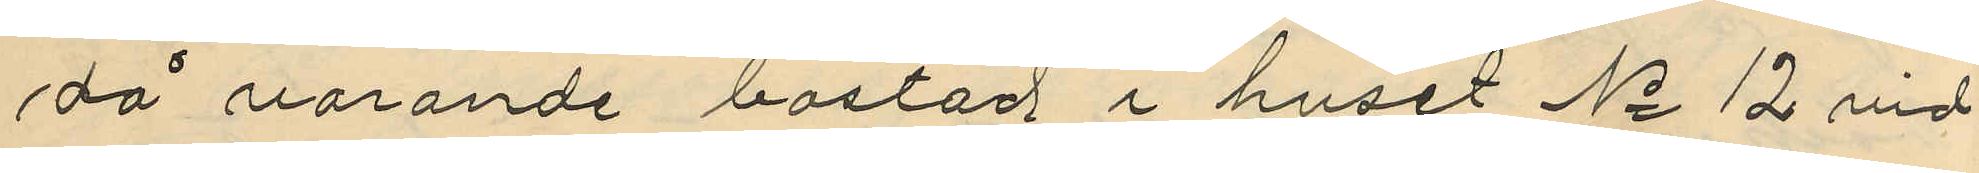då varande bostad i huset No 12 vid
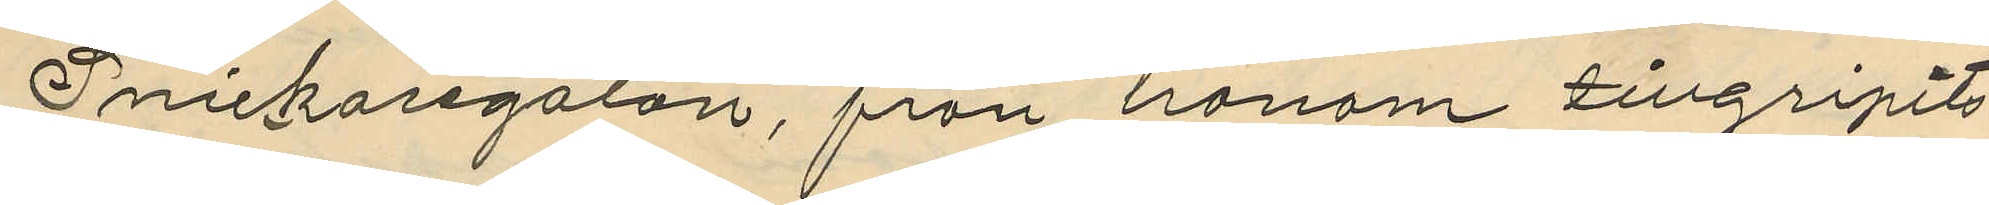Snickaregatan, från honom tillgripits
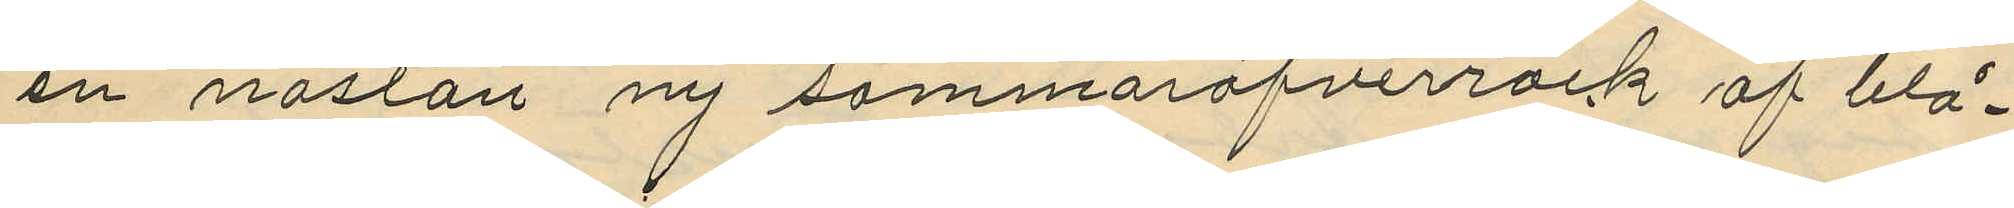en nästan ny sommaröfverrock af blå¬
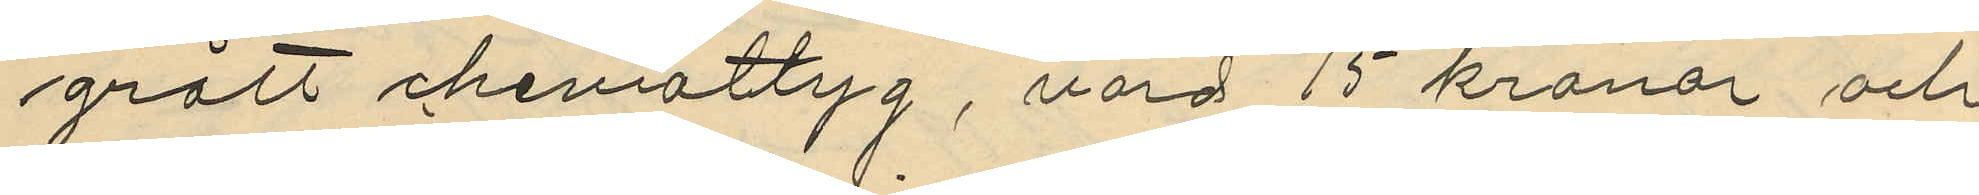grått cheviottyg, värd 15 kronor och
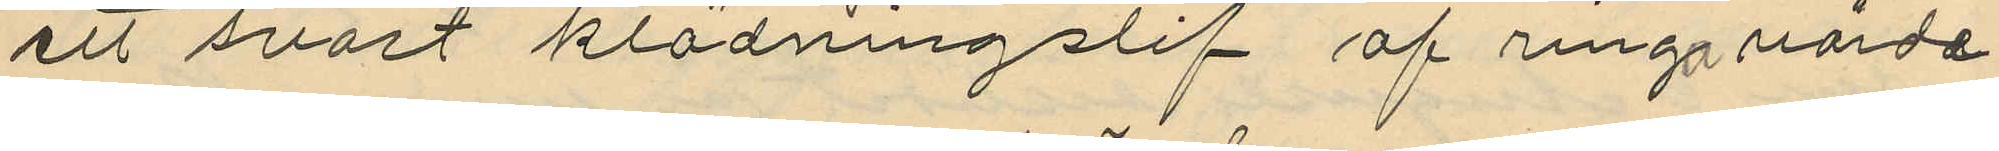ett svart klädningslif af ringa värde
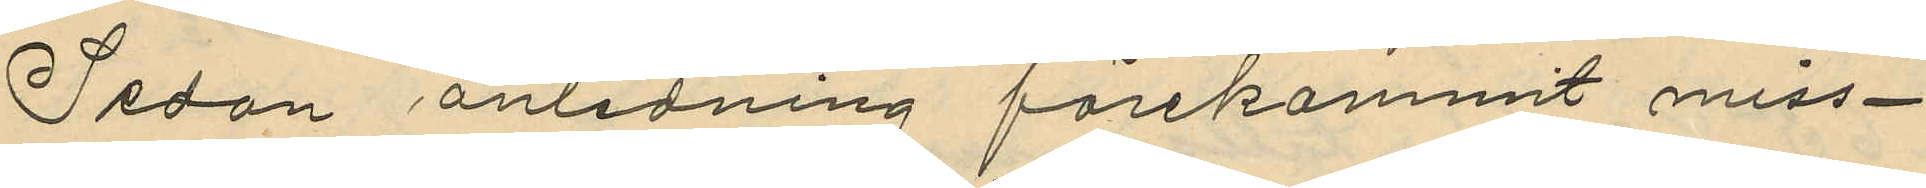Sedan anledning förekommit miss¬
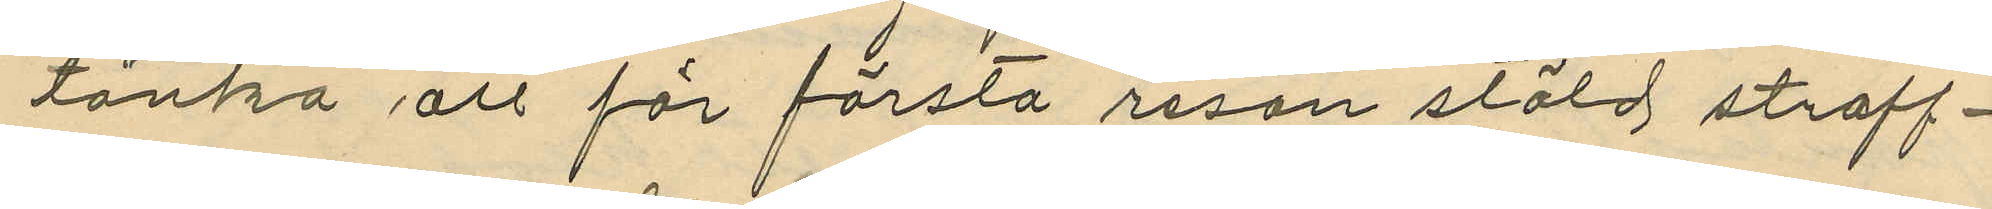tänka att för första resan stöld straff¬
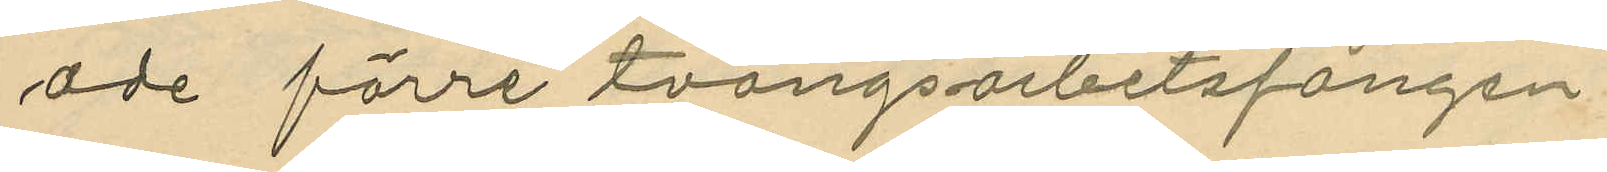ade förre tvångsarbetsfången
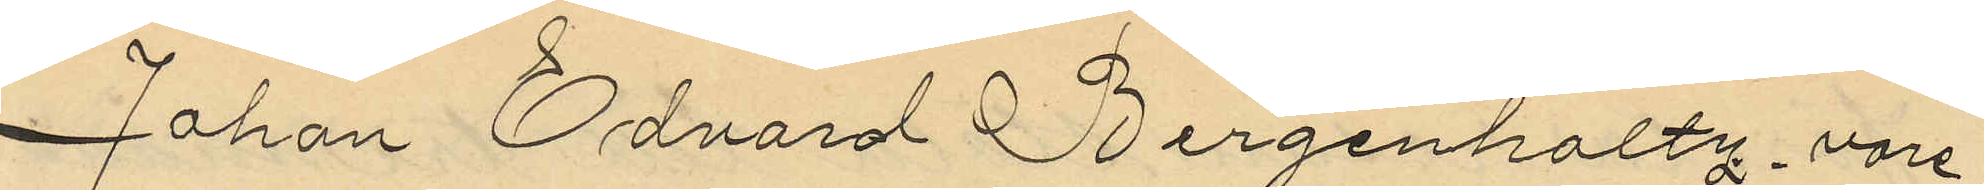Johan Edvard Bergenholtz vore
